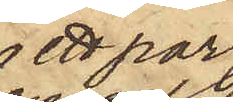ett par
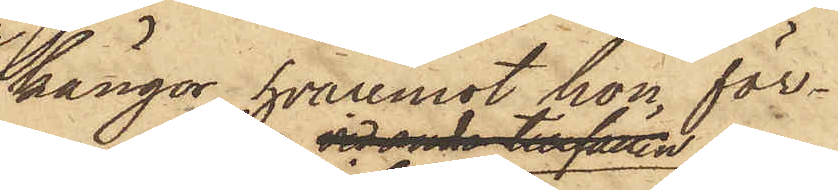kängor, hvaremot hon för¬
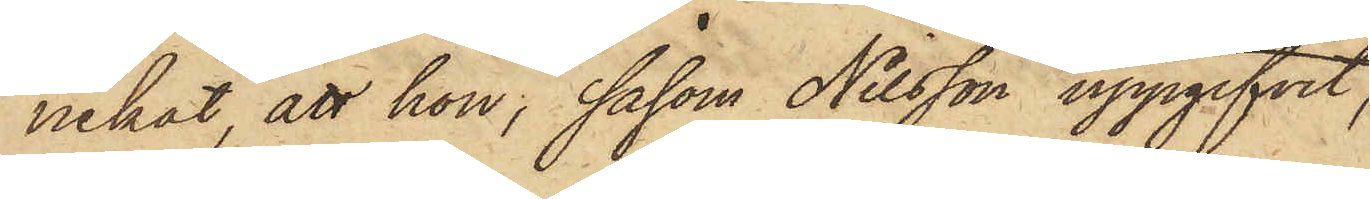nekat, att hon, såsom Nilsson uppgifvit,
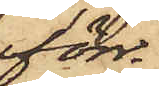förr
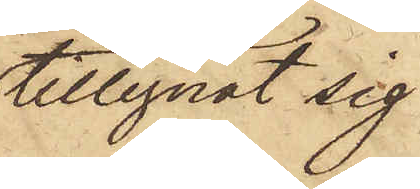tillegnat sig
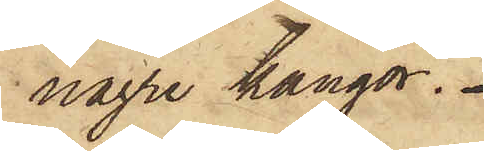några kängor.
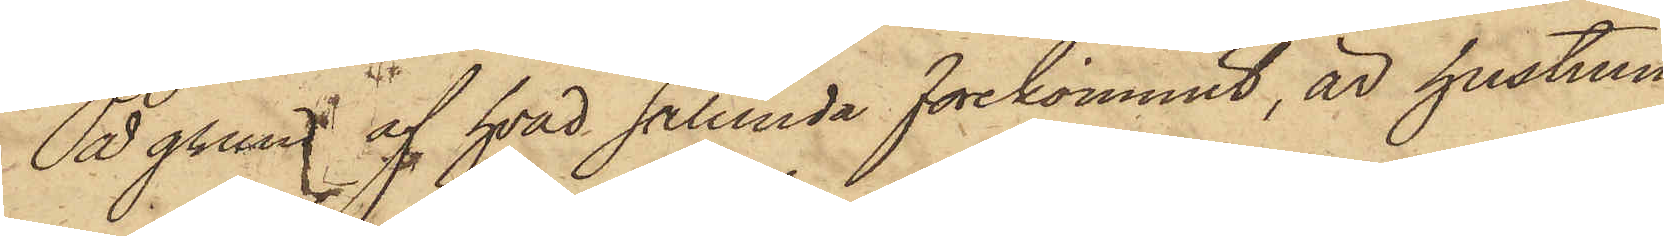På grund af hvad sålunda förekommit, är hustrun
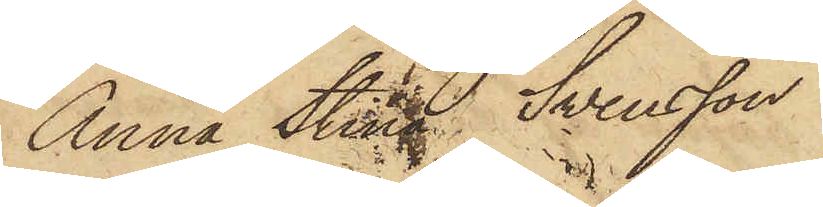Anna Stina Svensson
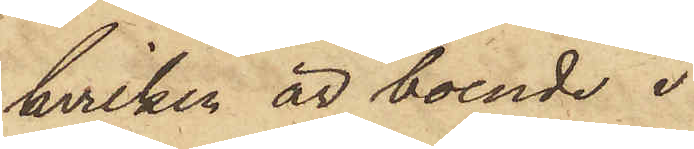hvilken är boende i
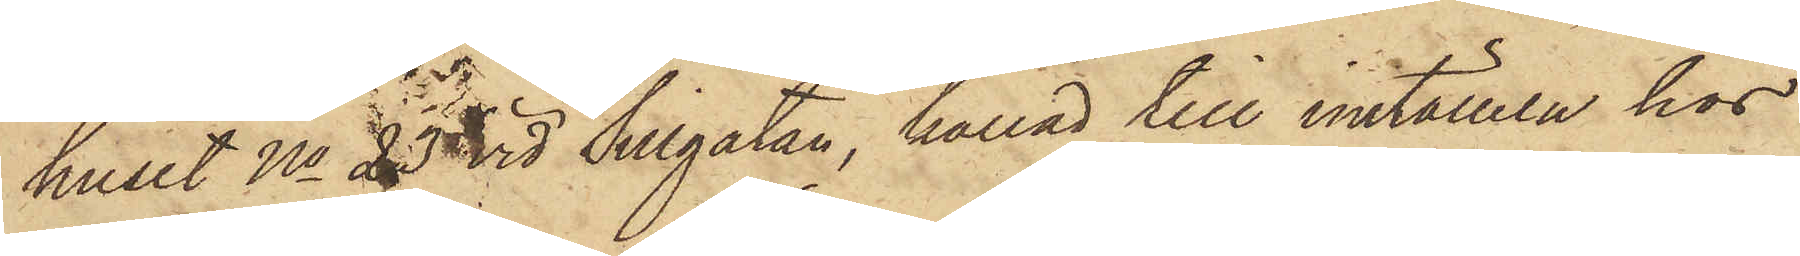huset No 23 vid Sillgatan, kallad till inställelse hos
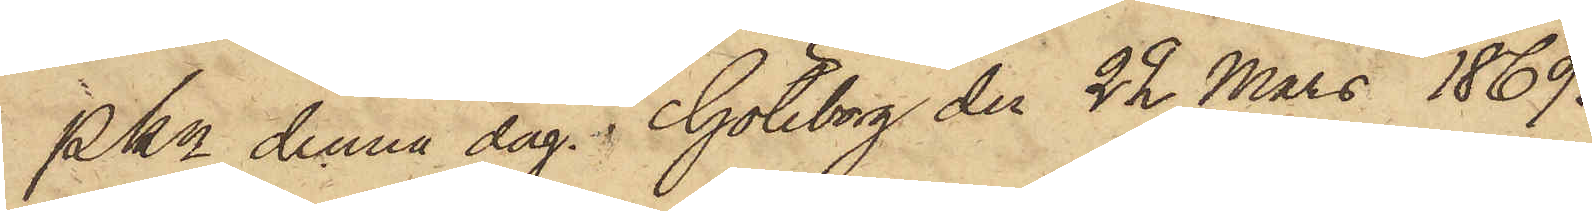Pkn denna dag. Göteborg den 22 Mars 1869.
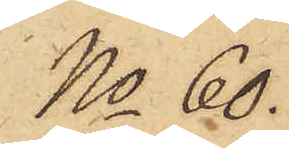No 60.
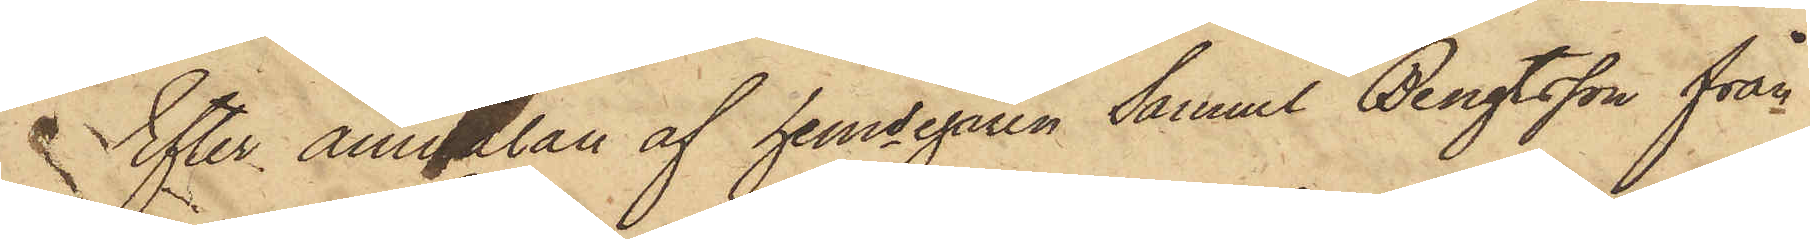Sfter anälan af hemsegaren Samuel Bengtsson från
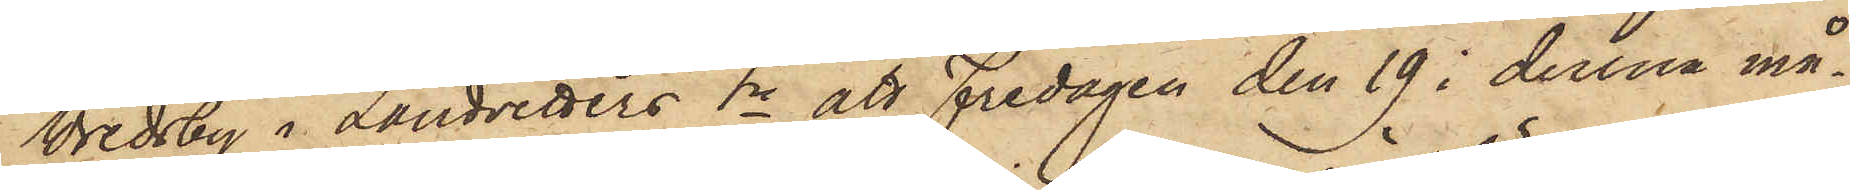Vredsby i Landvetters Sn att Fredagen den 19 i denna må¬
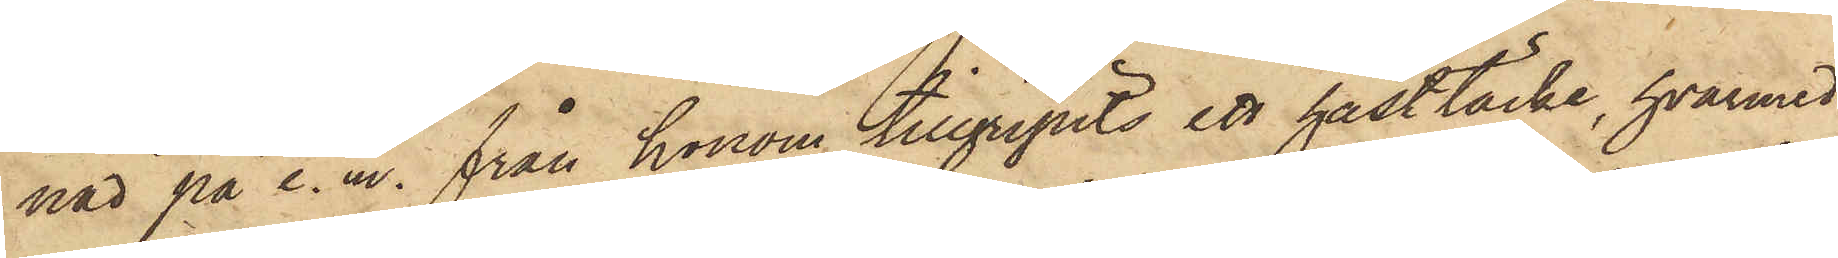nad på e. m. från honom tillgripits ett hästtäcke, hvarmed
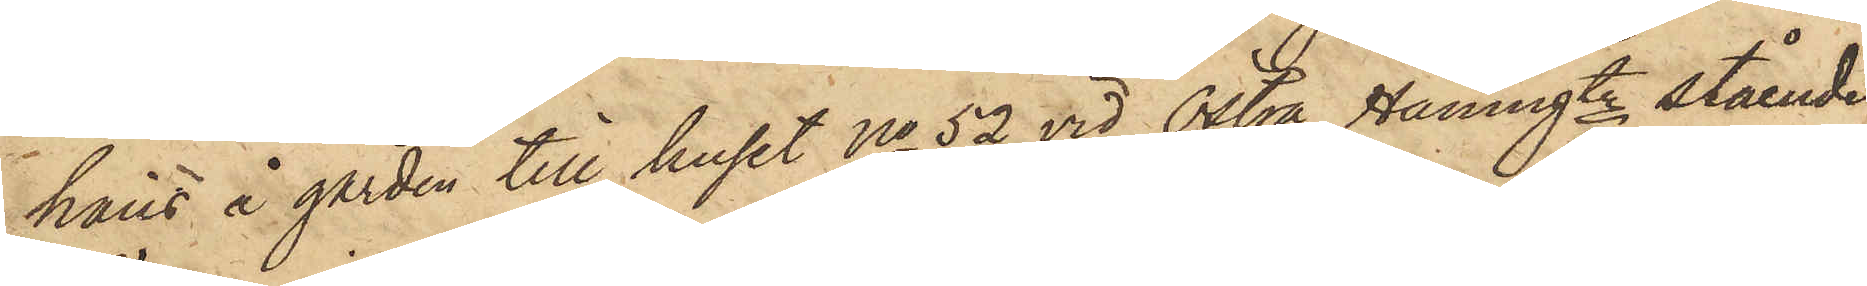hans å gården till huset No 52 vid Östra Hamngtn stående
